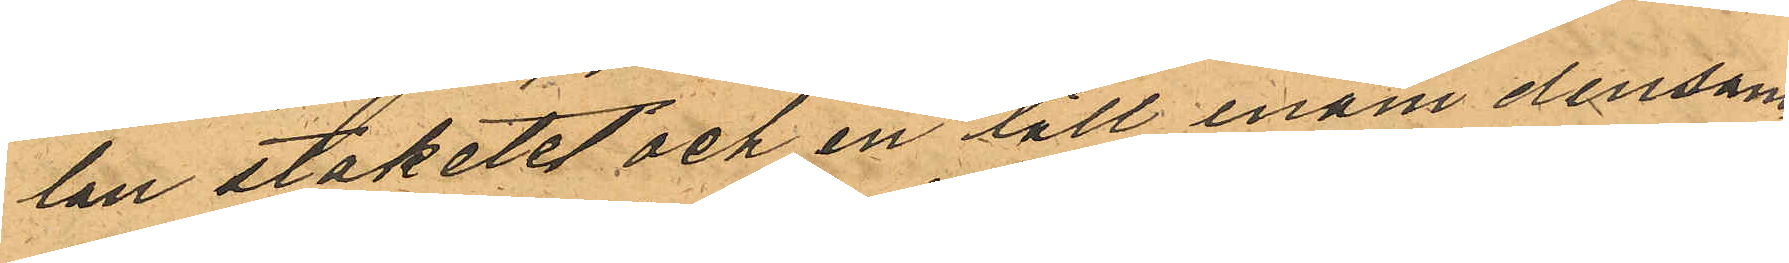lan staketet och en till inom densam¬
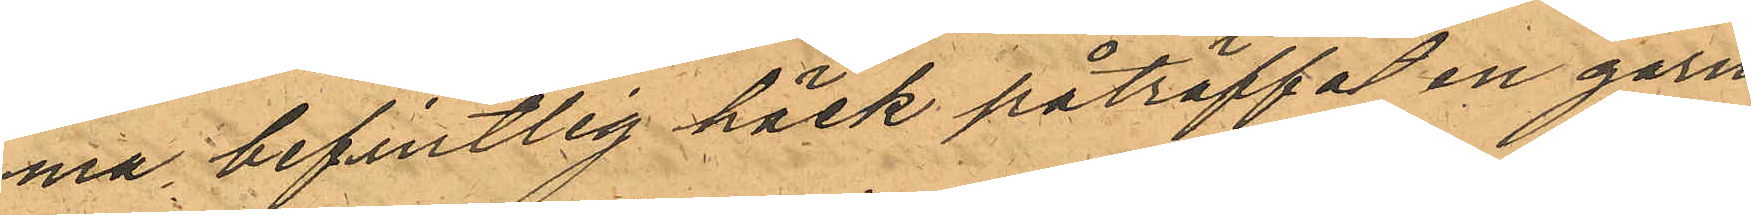ma befintlig häck påträffat en garn¬
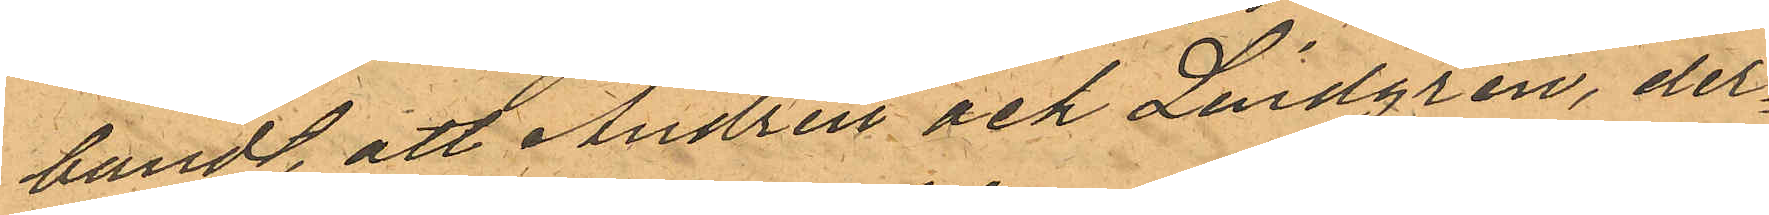bundt, att Andrén och Lindgren, der¬
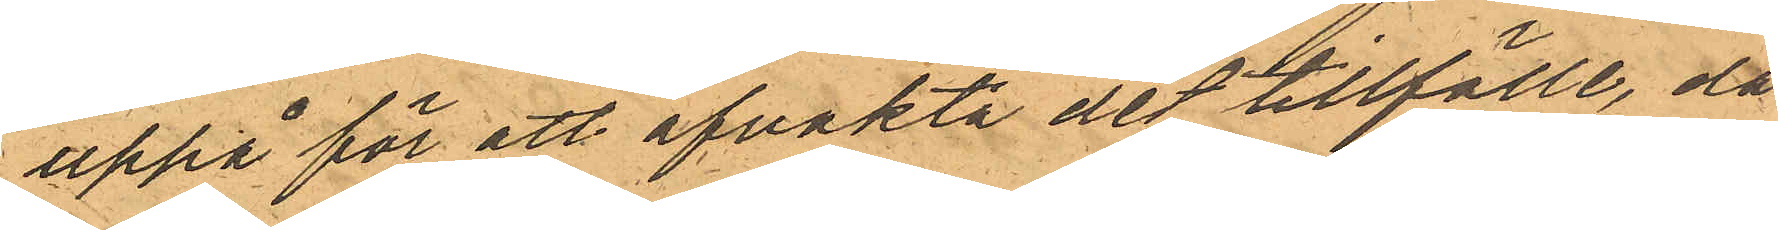uppå för att afvakta det tillfälle, då
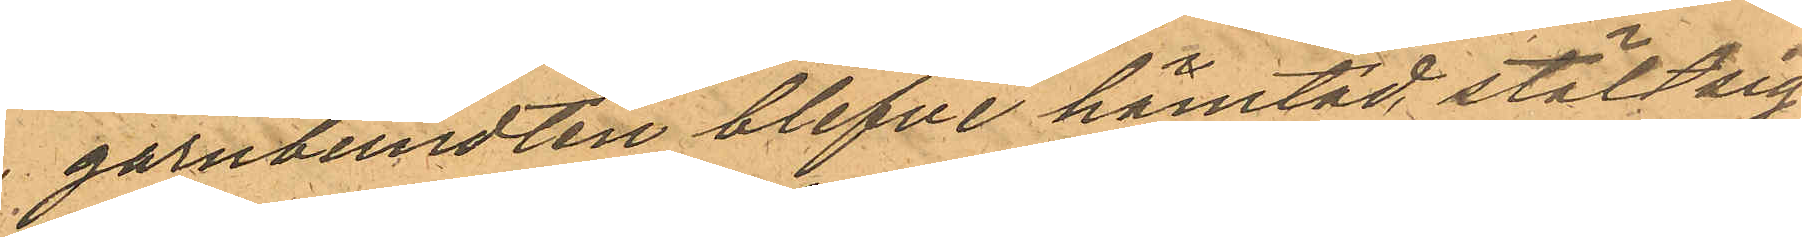garnbundten blefve hämtad, stält sig
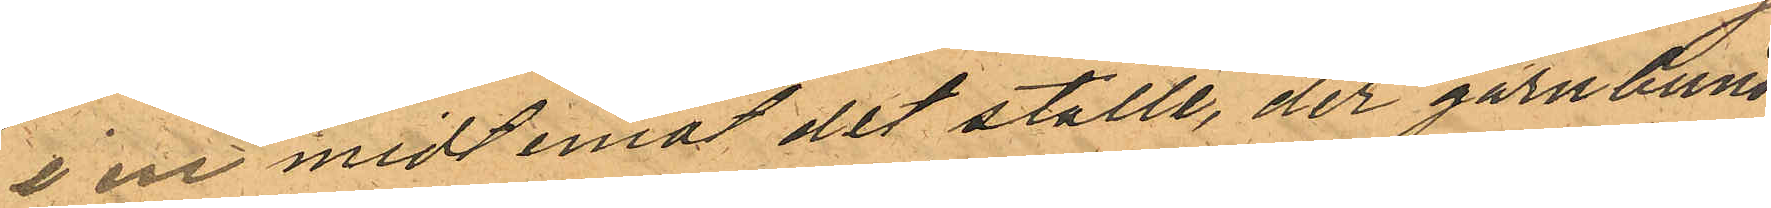i en midt emot det ställe, der garnbund¬
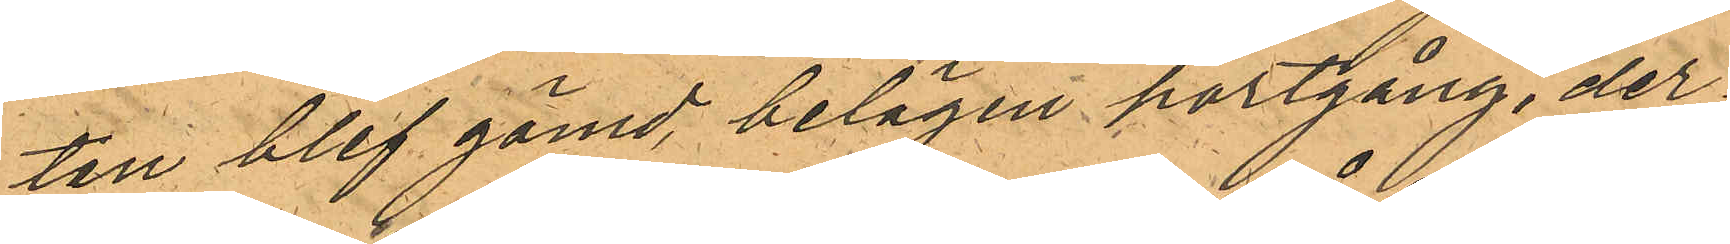ten blef gömd, belägen portgång, der¬
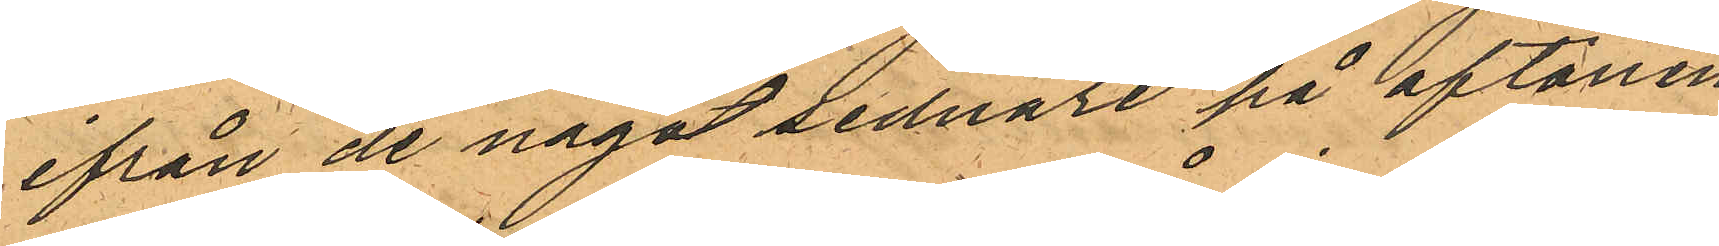ifrån de något sednare på aftonen
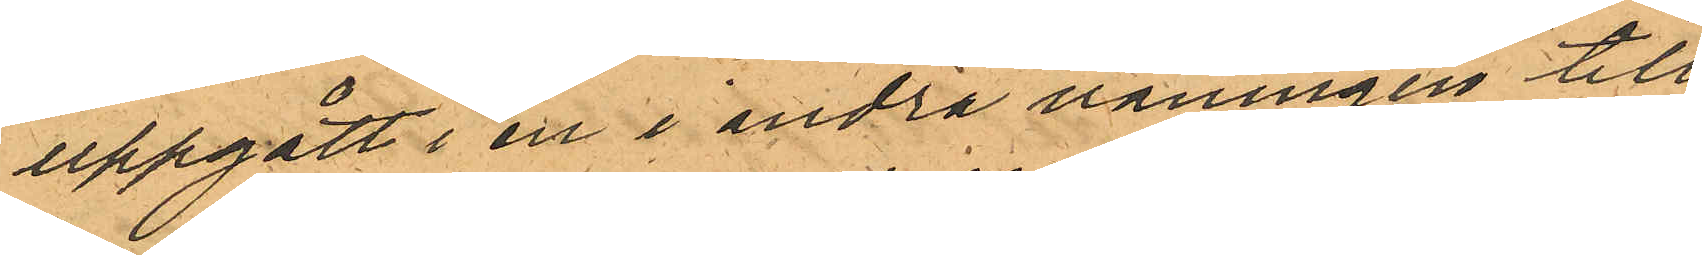uppgått i en i andra våningen till
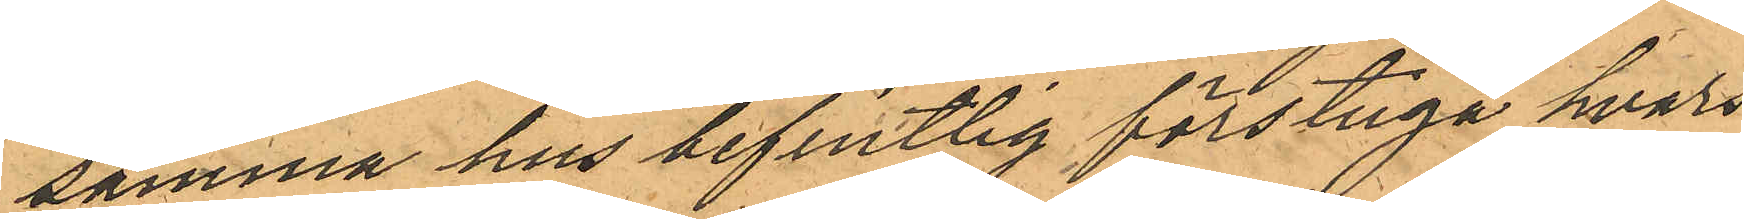samma hus befintlig förstuga hvars
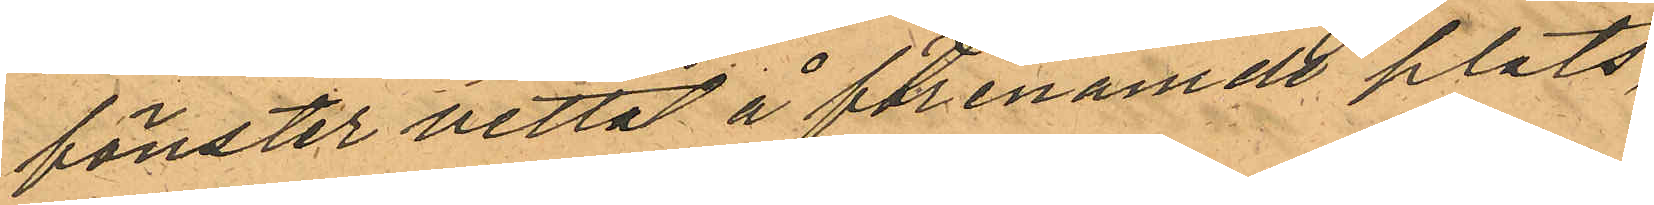fönster vettat å förenämde plats
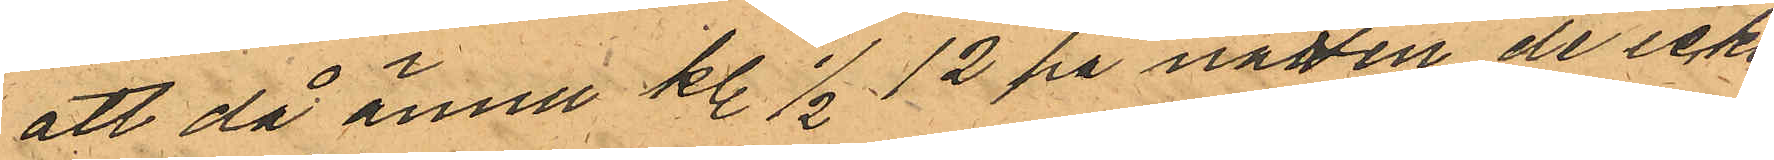att då ännu kl. 1/2 12 på natten de icke
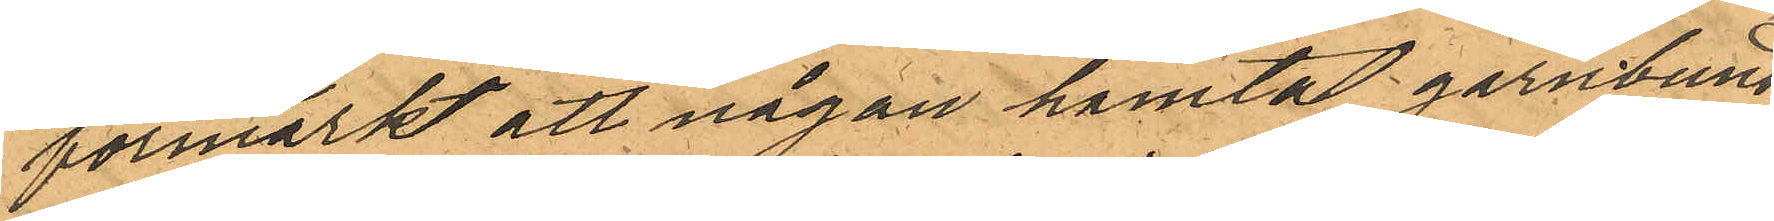förmärkt att någon hämtat garnbund¬
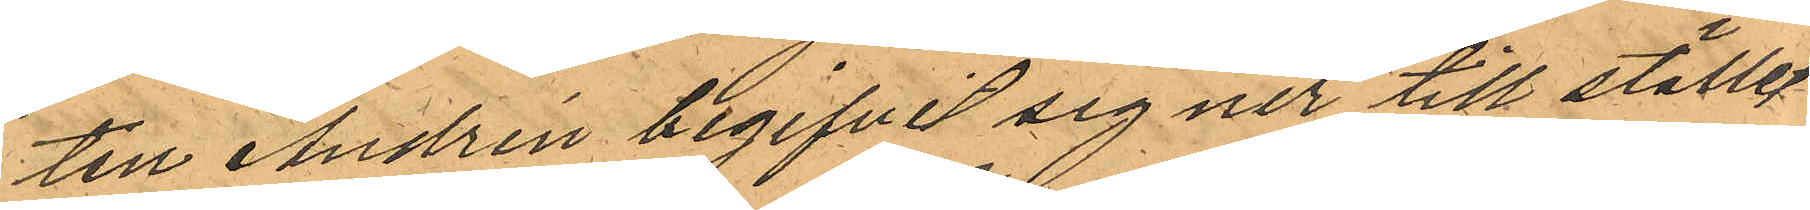ten Andrén begifvit sig ner till stället
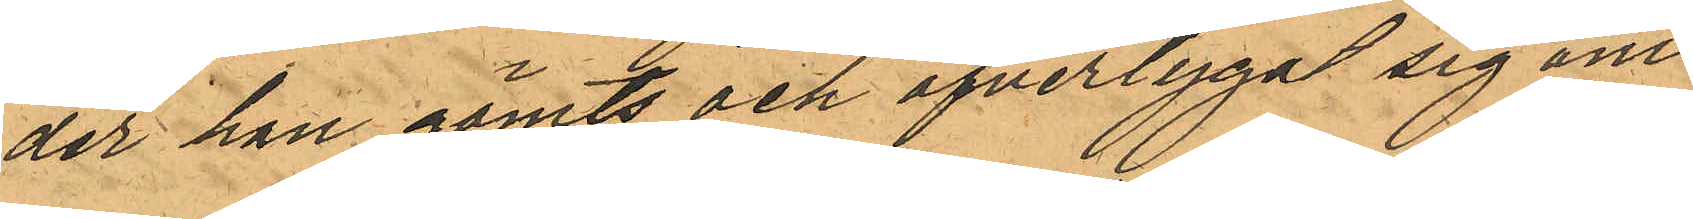der han gömts och öfvertygat sig om
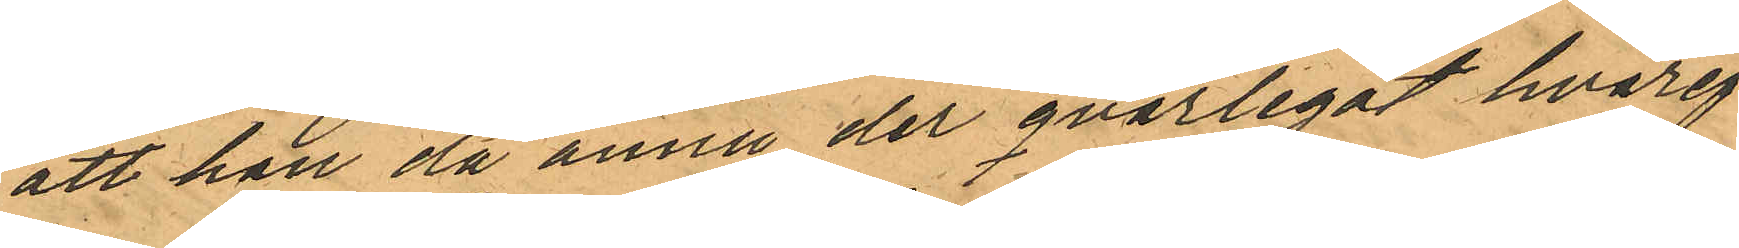att han då ännu der qvarlegat hvaref¬
